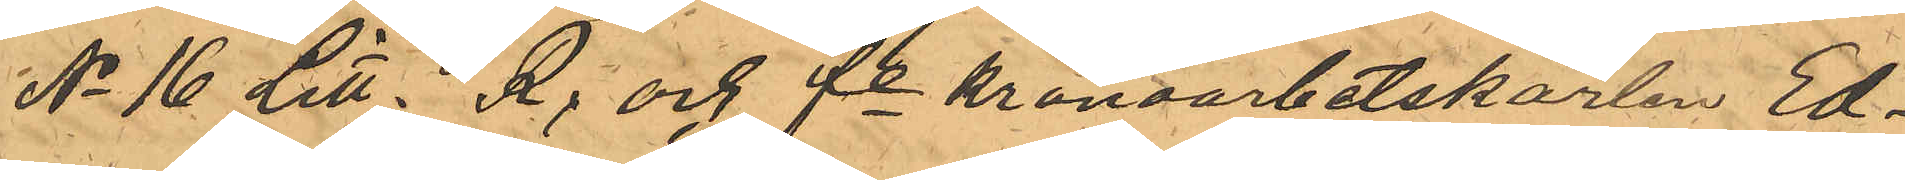No 16 Litt. R; och fe kronoarbetskarlen Ed¬
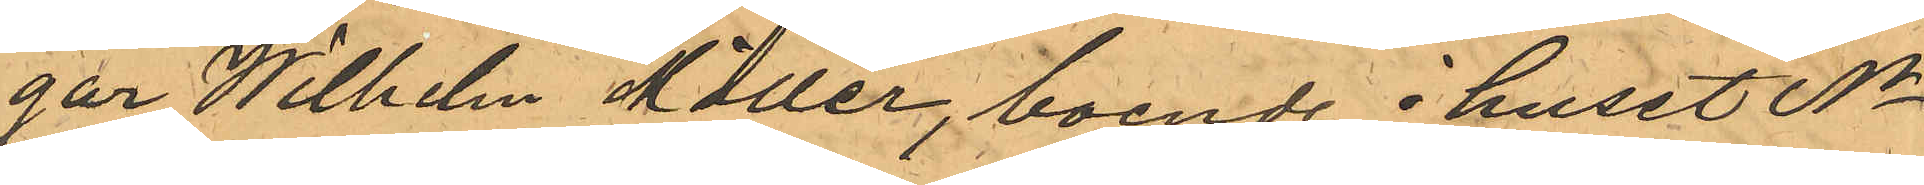gar Wilhelm Möller, boende i huset No
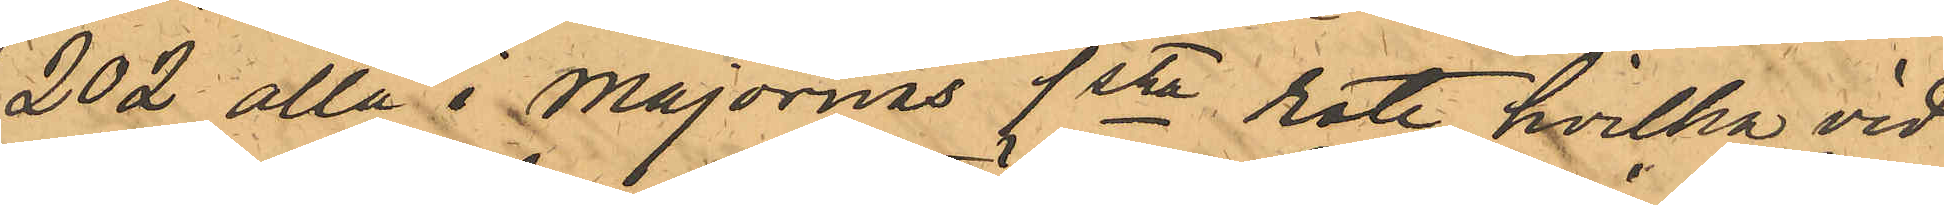202 alla i Majornas 1sta rote, hvilka vid
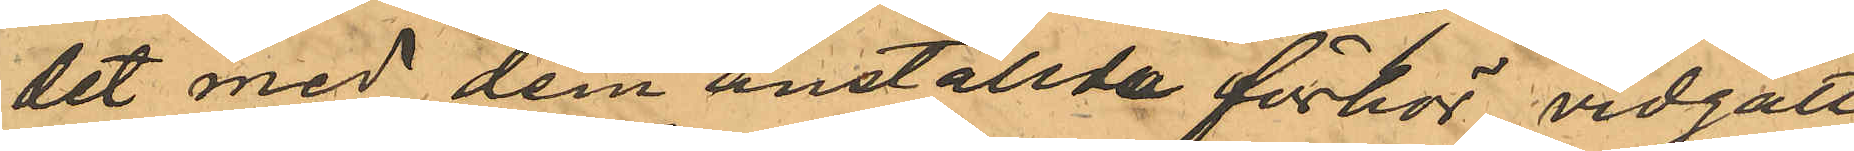det med dem anställda förhör vidgått
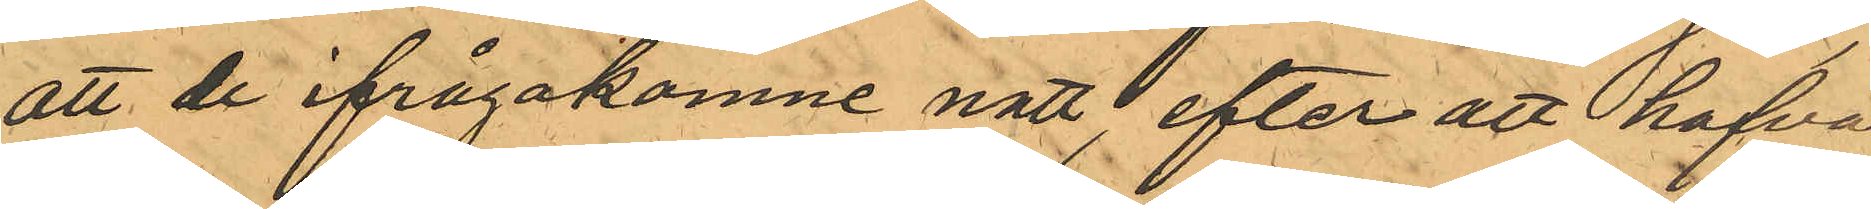att de ifrågakomne natt, efter att hafva
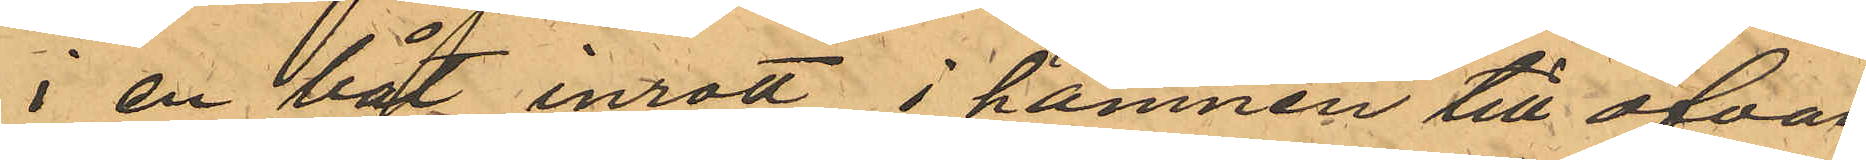i en båt inrott i hamnen till ofvan¬
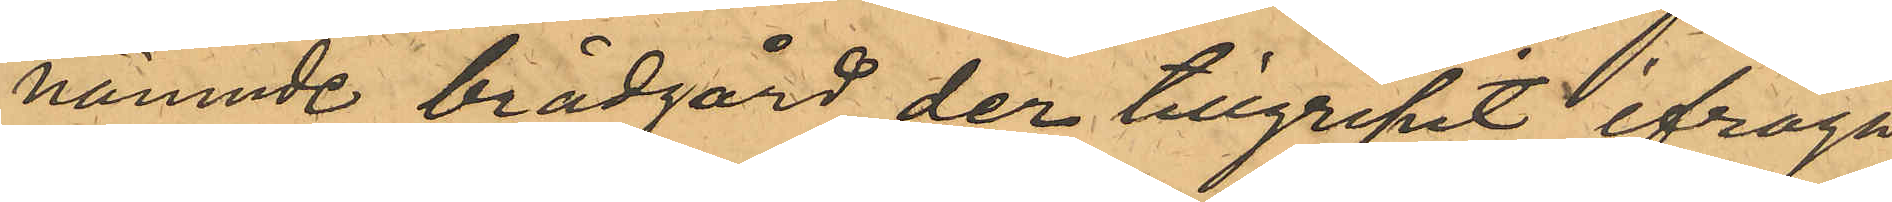nämnde brädgård, der tillgripit ifråga¬
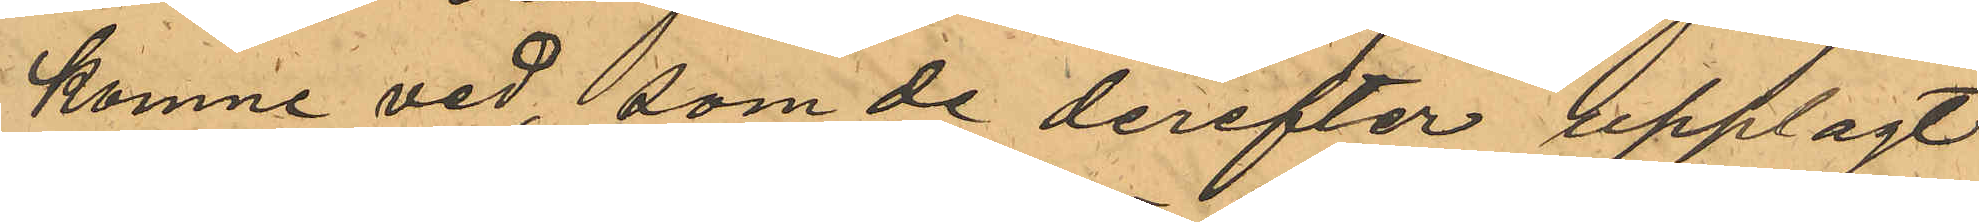komne ved, som de derefter upplagt
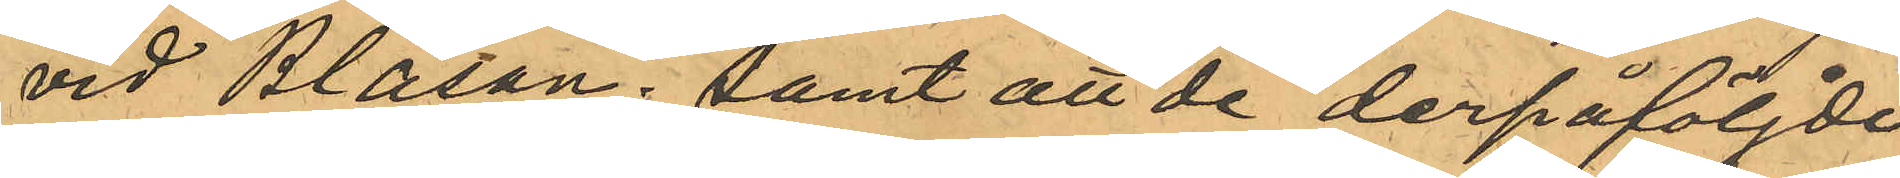vid Bläsan; samt att de derpåföljde
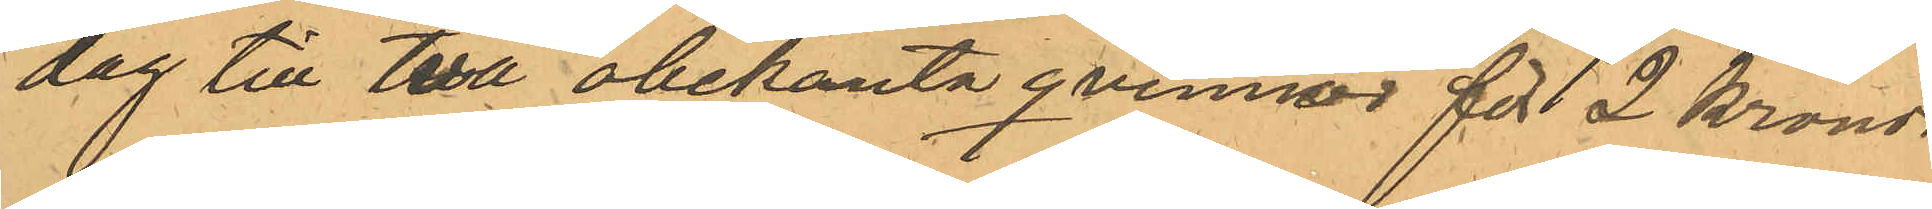dag till två obekanta qvinnor för 2 kronor
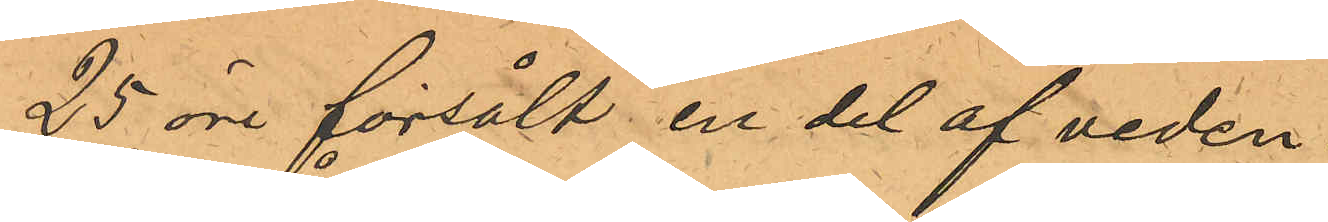25 öre försålt en del af veden.
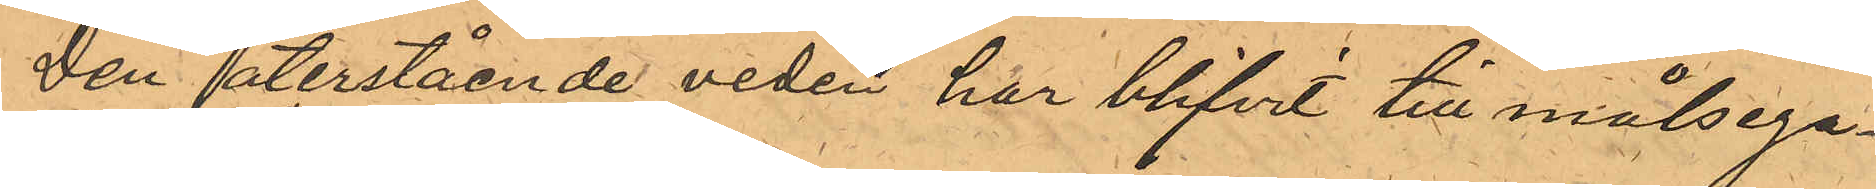Den återstående veden har blifvit till målsega¬
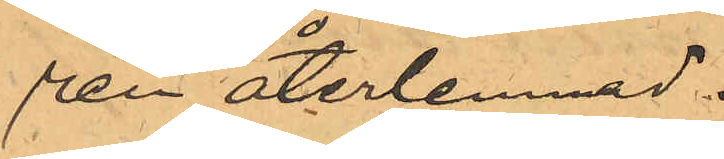ren återlemnad.
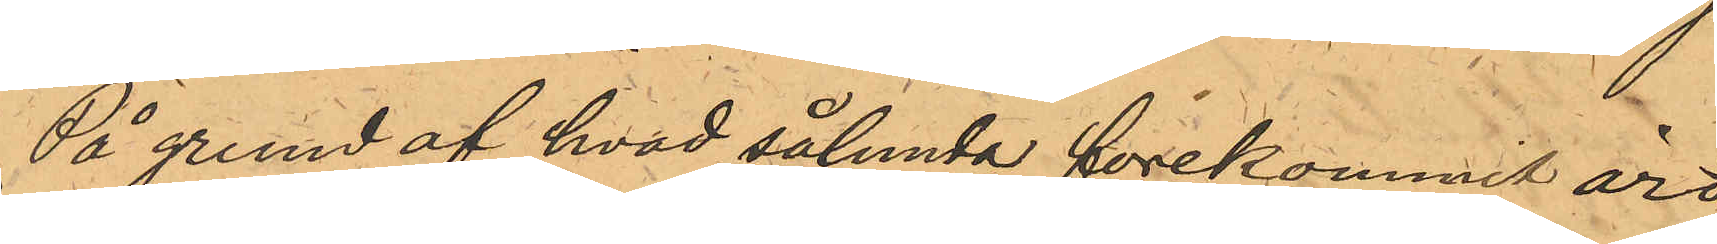På grund af hvad sålunda förekommit äro
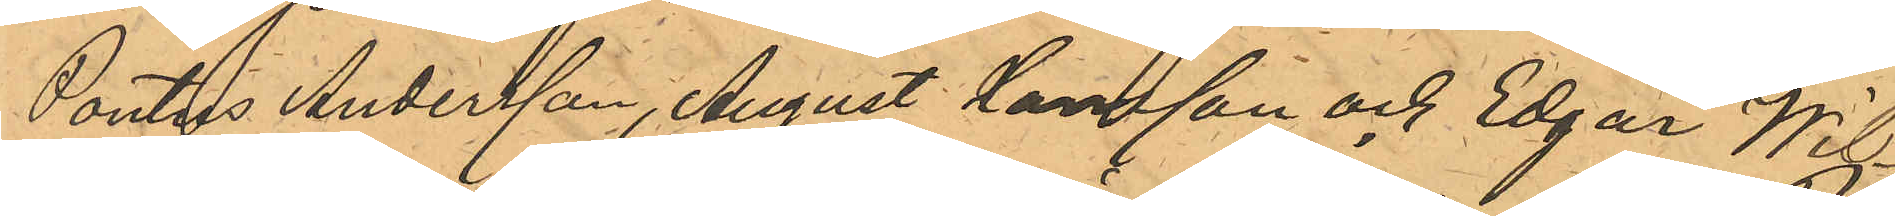Pontus Andersson, August Hansson och Edgar Wil¬
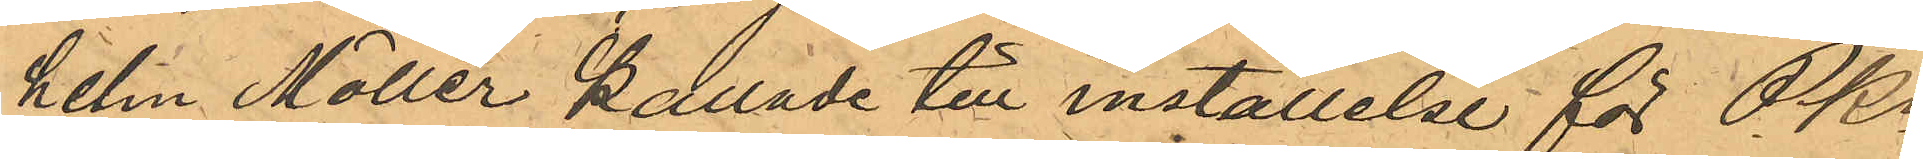helm Möller kallade till inställelse för PKn
